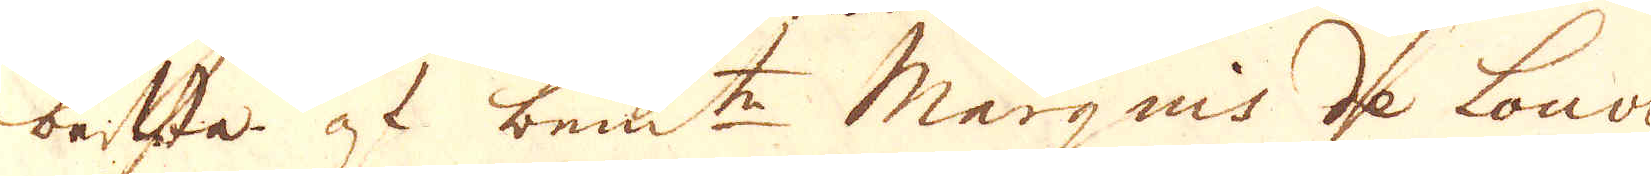beststa at bem:te Marquis de Louvois
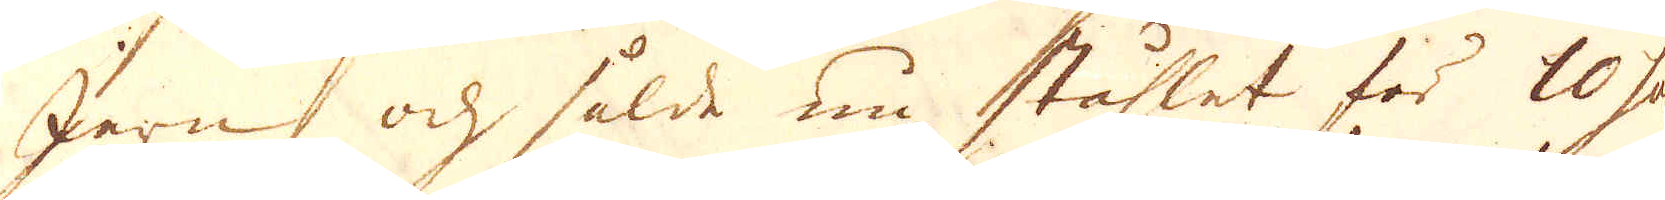Jern, och sålde nu ståhlet för 10 sols
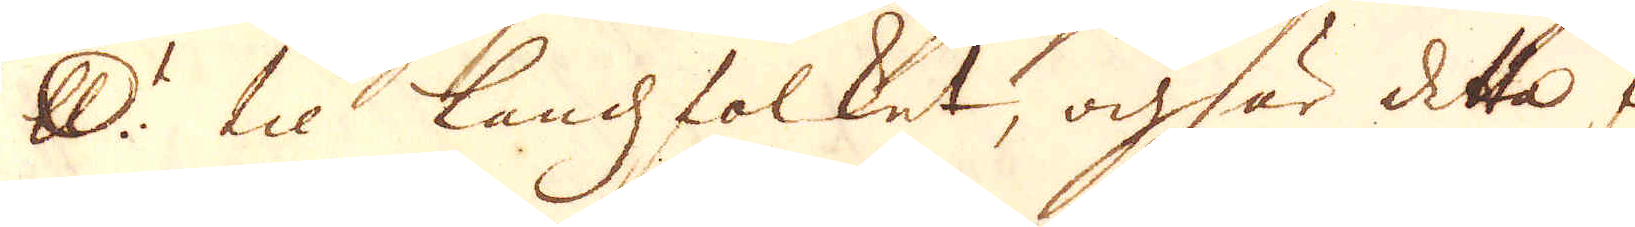skålpundet til Landzfolket, och är detta för-
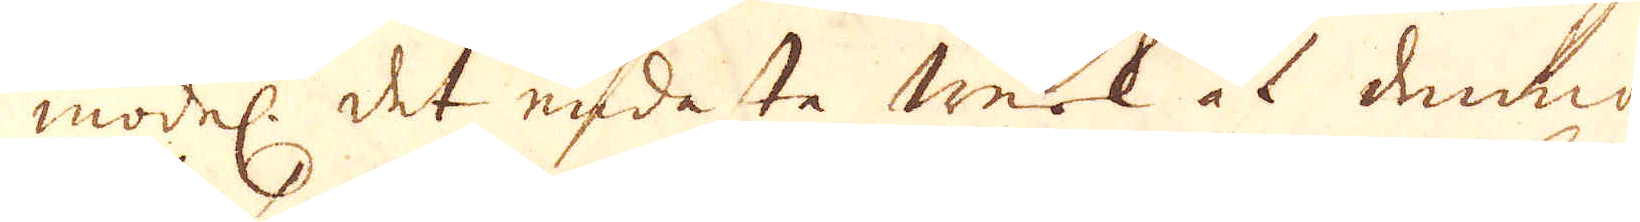model: det endaste werk at denna
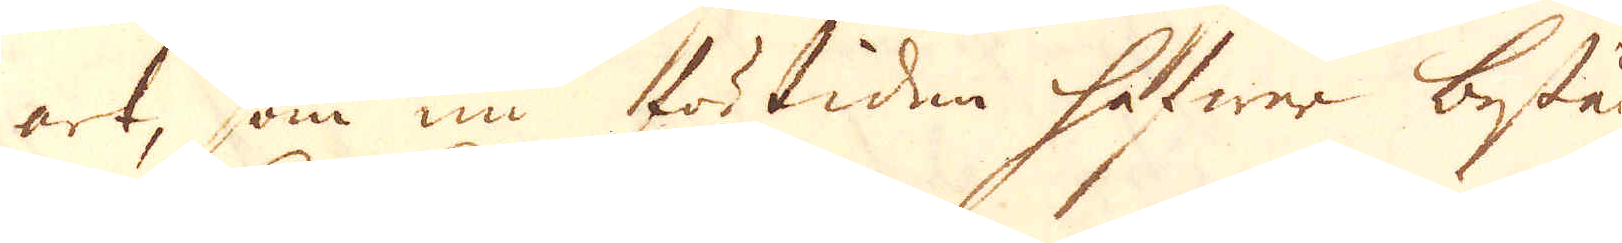art, som nu förtiden hafwer bestånd
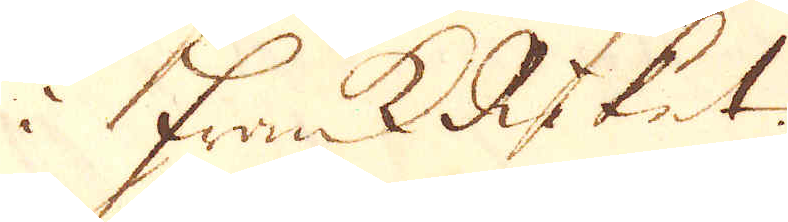i FrankRiket.
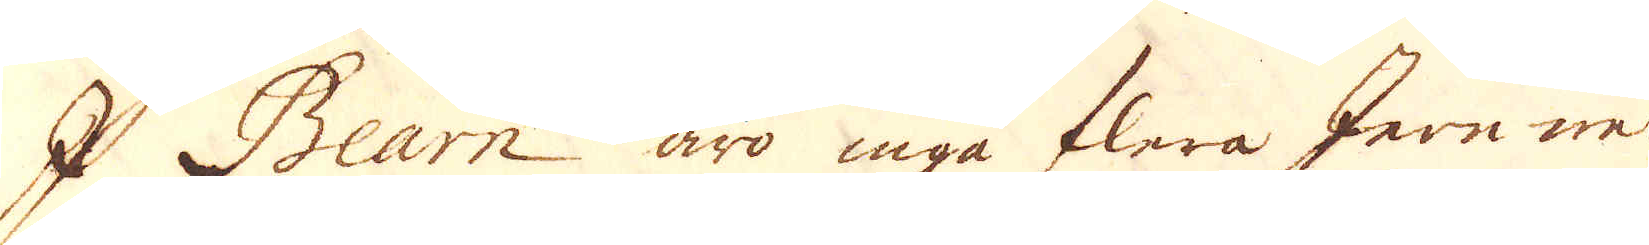I Bean äro inga flera Jenwerk
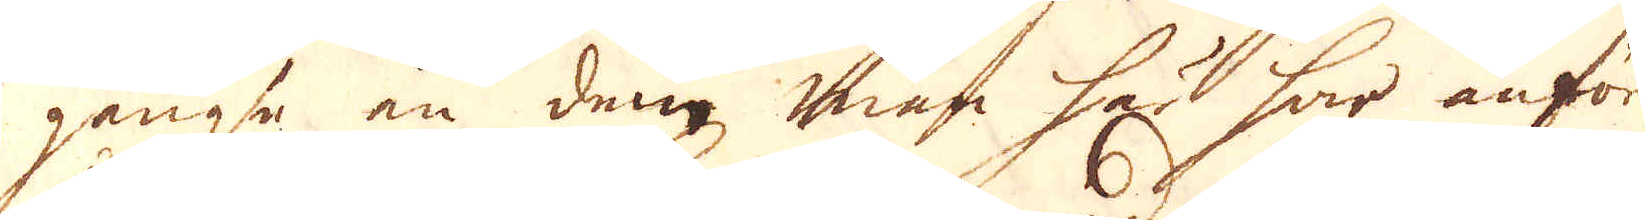gängsa än dem man här har anfört
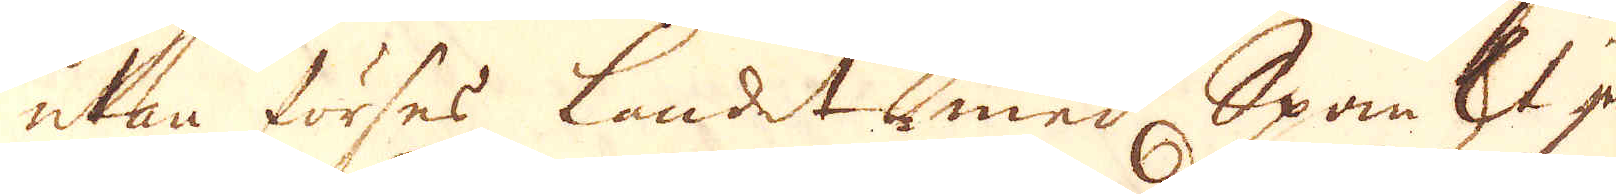utan förses landet med, Spanskt jern
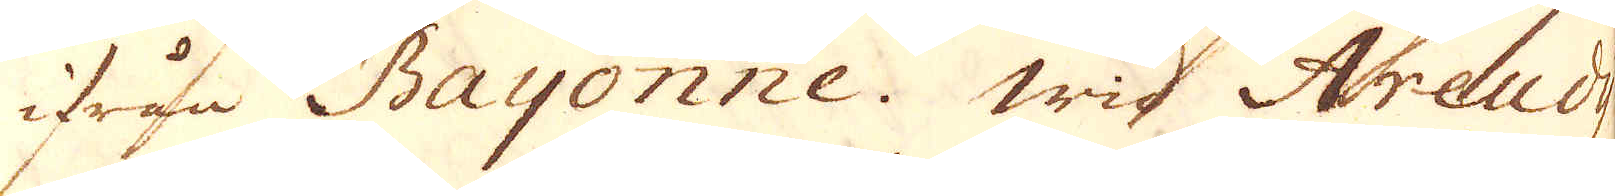ifrån Bayonne. Wid Areudy
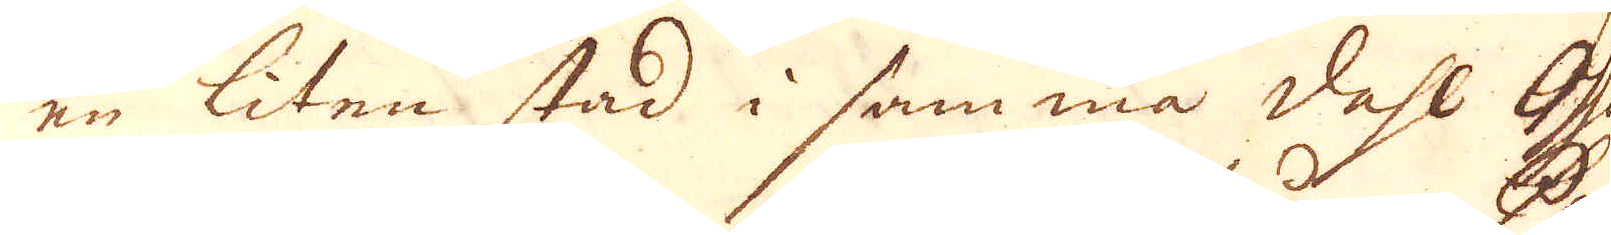en liten stad i samma dahl Ossau
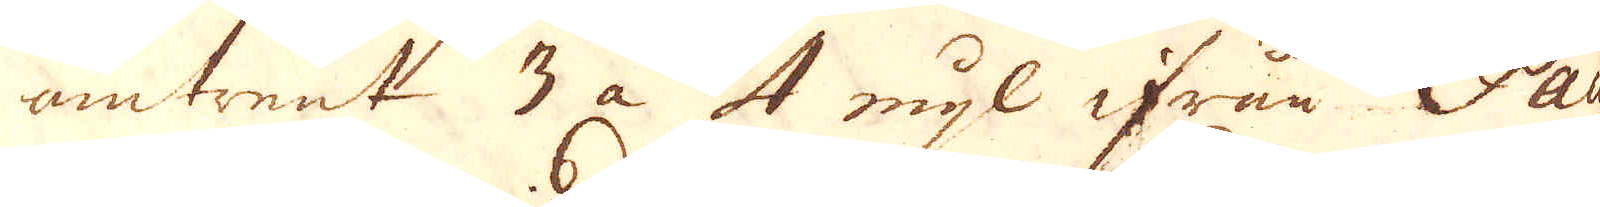omtrent 3 a 4 mijl ifrån Pau
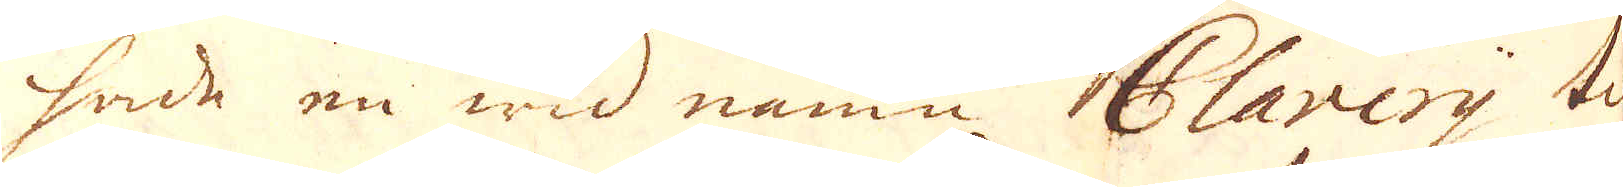hade en wid namn Clavery tils
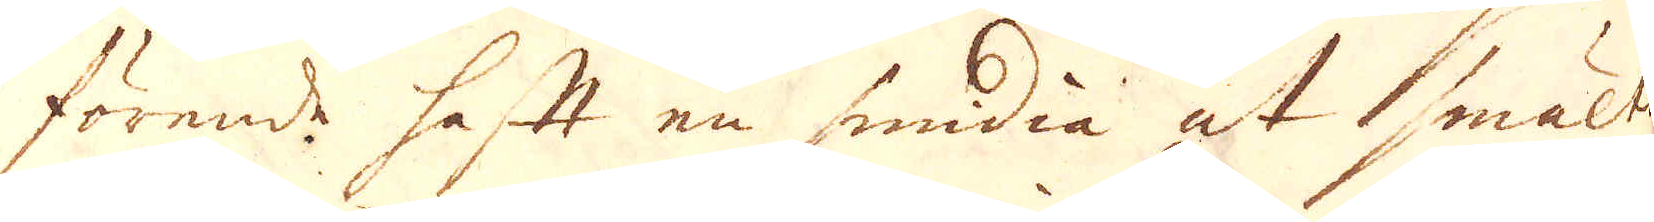förende haftt en smidia at smälta
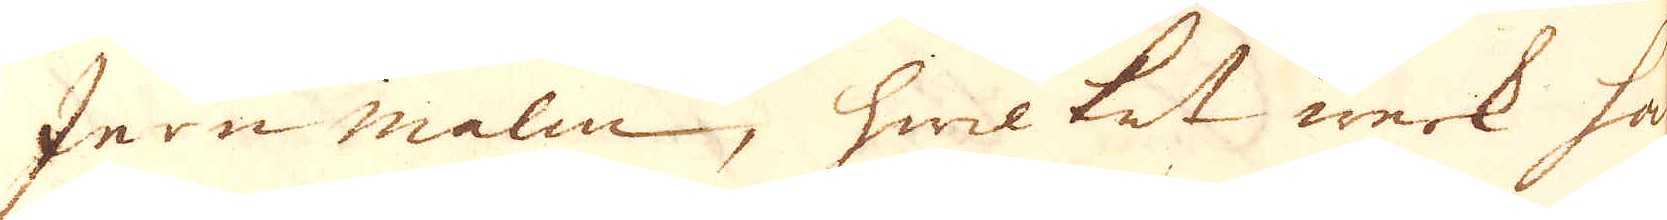Jern malm, hwilket werk han
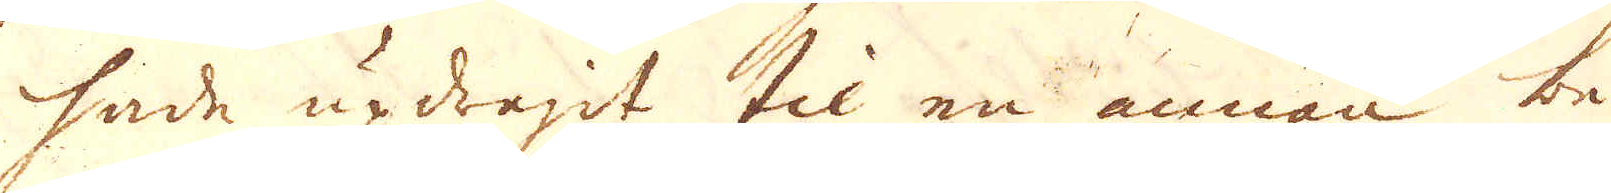hade updragdt til en annan be-
